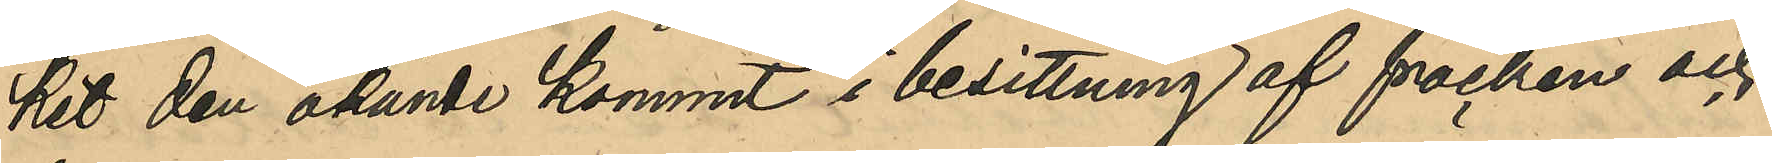kit den okände kommit i besittning af fracken och
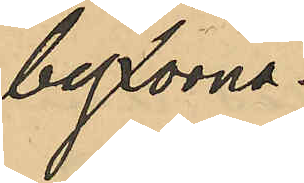byxorna.
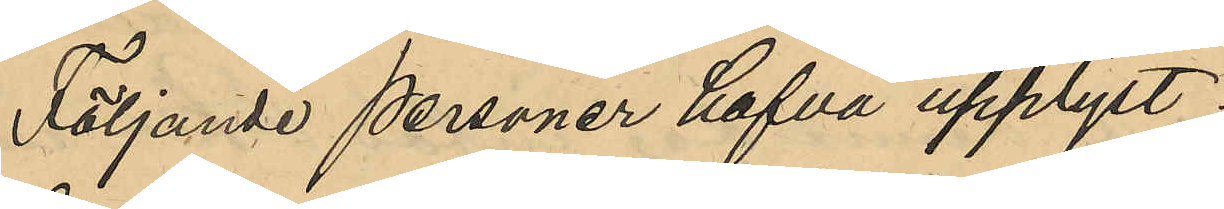Följande personer hafva upplyst:
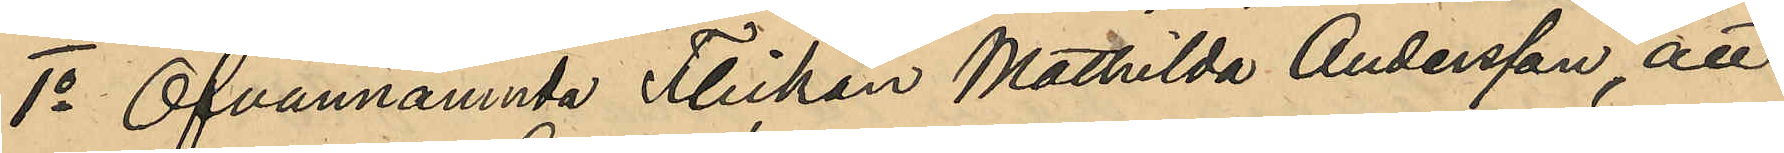1o Ofvannamnda Flickan Mathilda Andersson, att
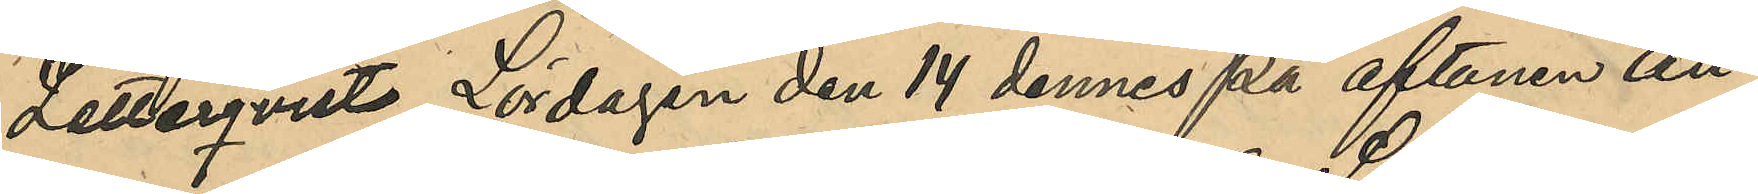Zetterqvists Lördagen den 14 dennes på aftonen An¬
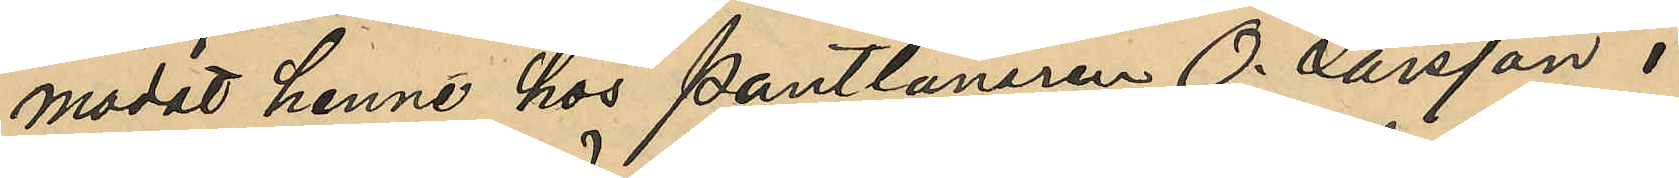modat henne hos Pantlånaren O. Larsson i
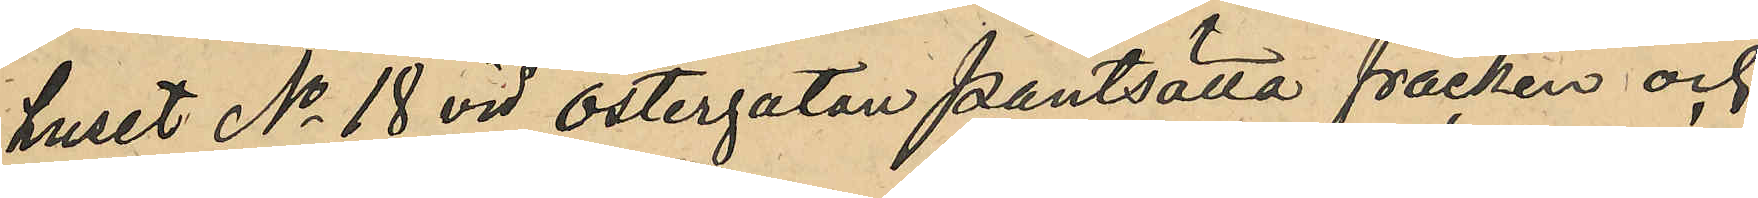huset No 18 vid Östergatan pantsätta fracken och
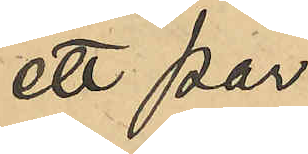ett par
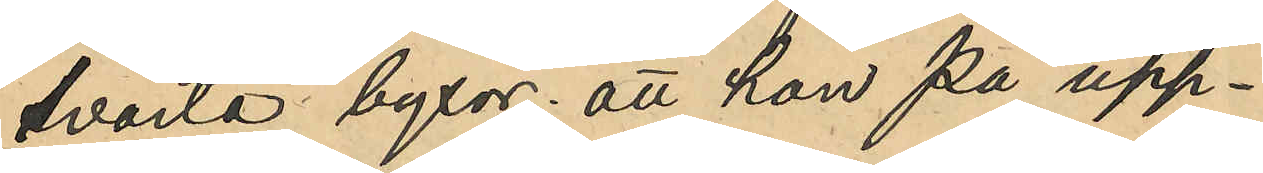svarta byxor; att hon på upp¬
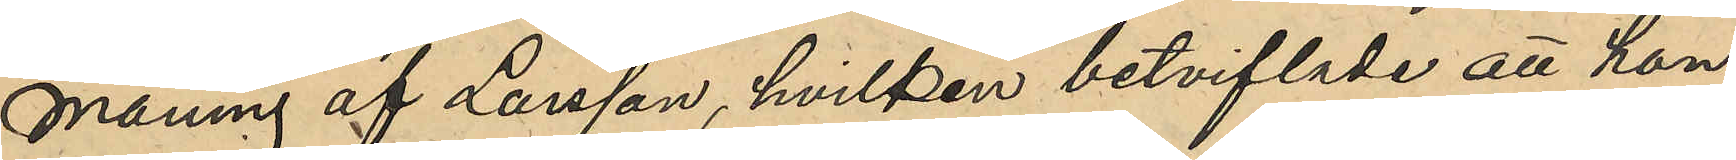maning af Larsson, hvilken betviflade att hon
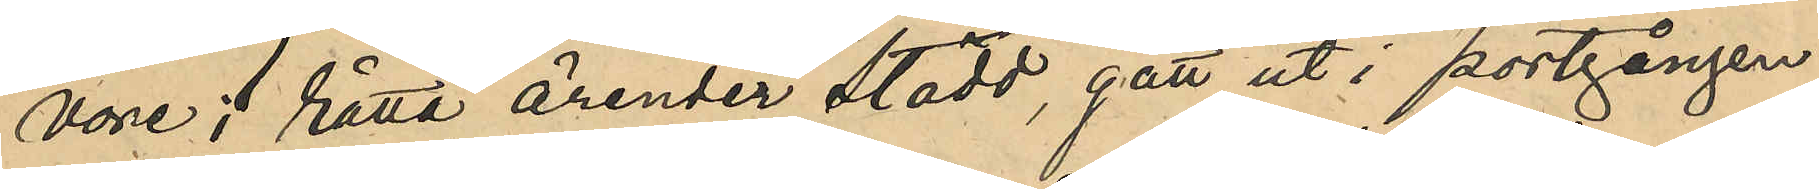vore i rätta ärender stödd, gått ut i portgången
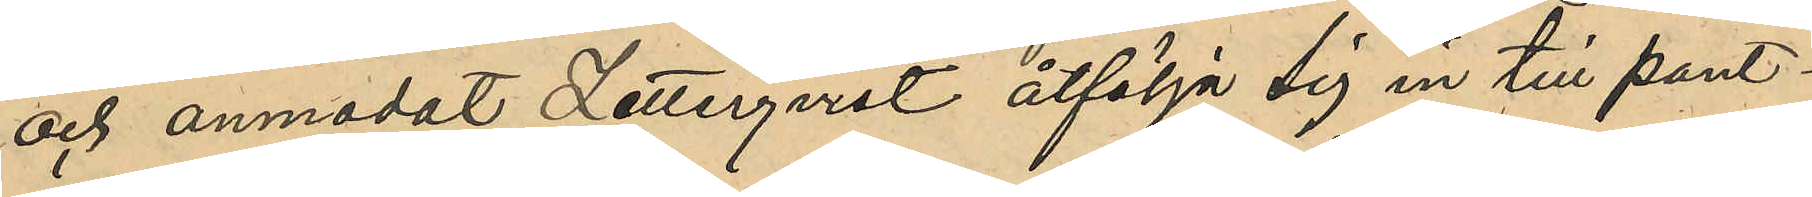och anmodat Zetterqvist åtfölja sig in till pant¬
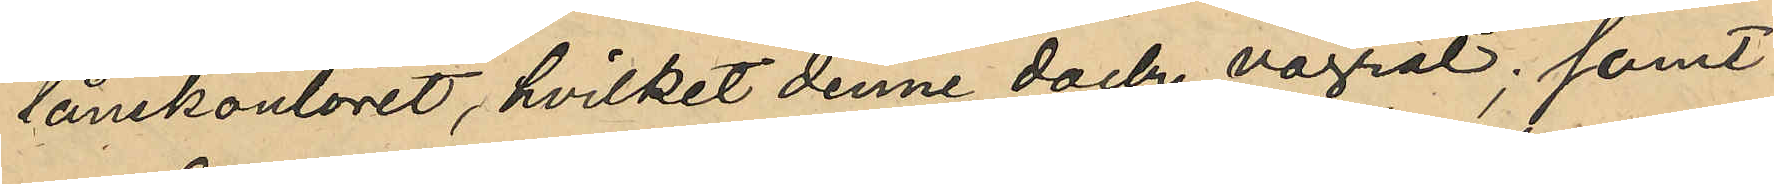lånekontoret, hvilket denne dock vägrat; samt
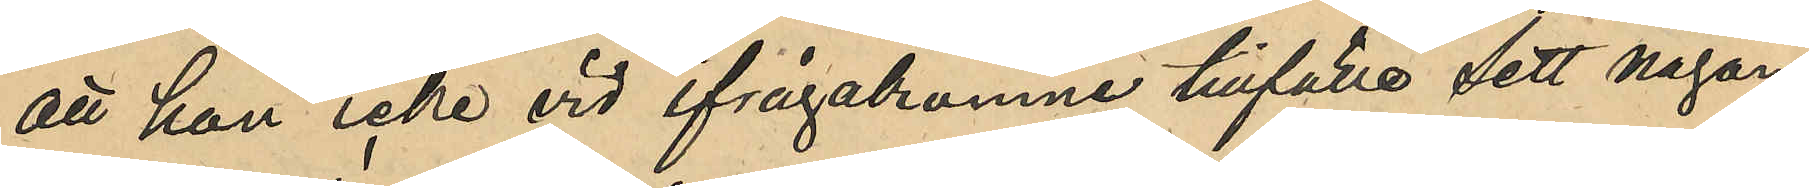att hon icke vid ifrågakomne tillfälle sett någon
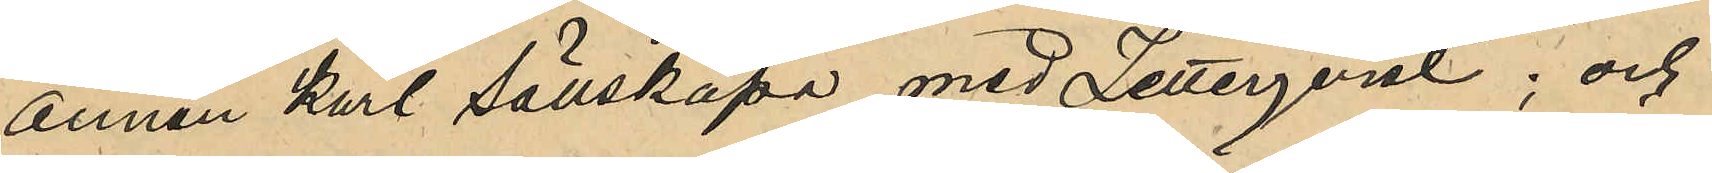annan karl sällskapa med Zetterqvist; och
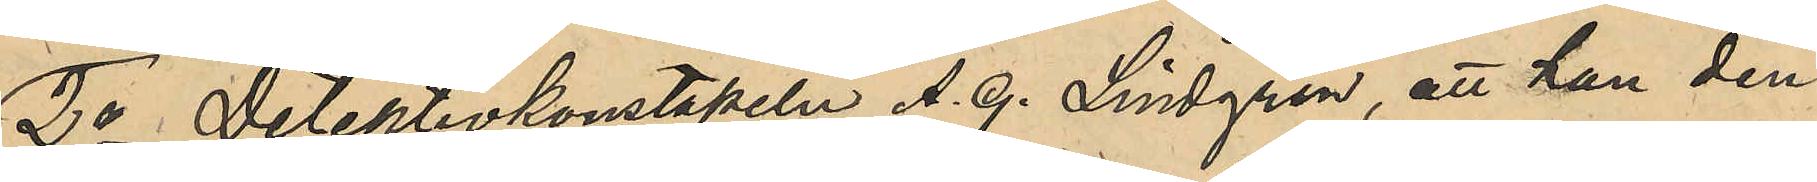2o Detektivkonstapeln A. G. Lindgren, att han den
